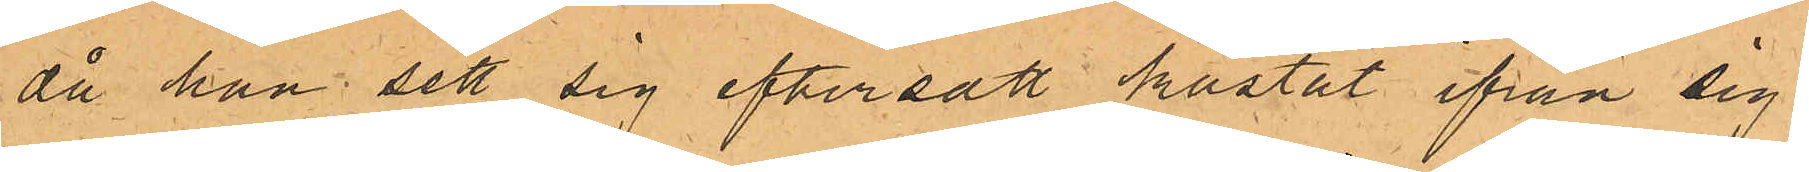då han sett sig eftersatt kastat ifrån sig i
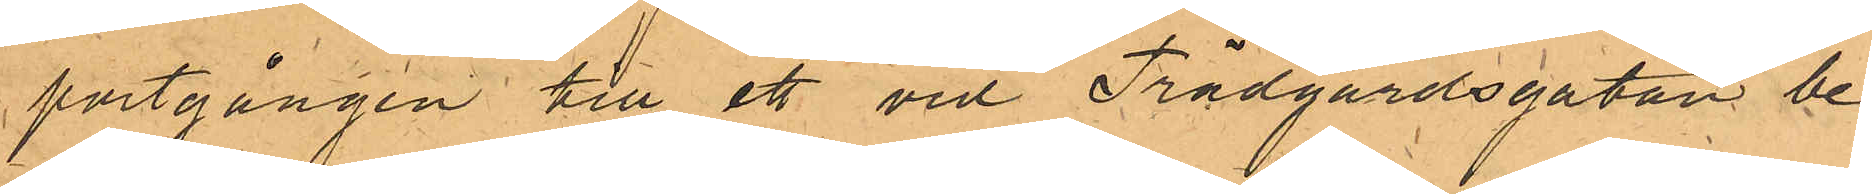portgången till ett vid Trädgårdsgatan be¬
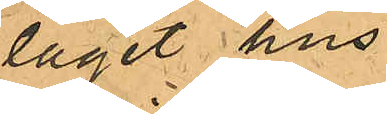läget hus.
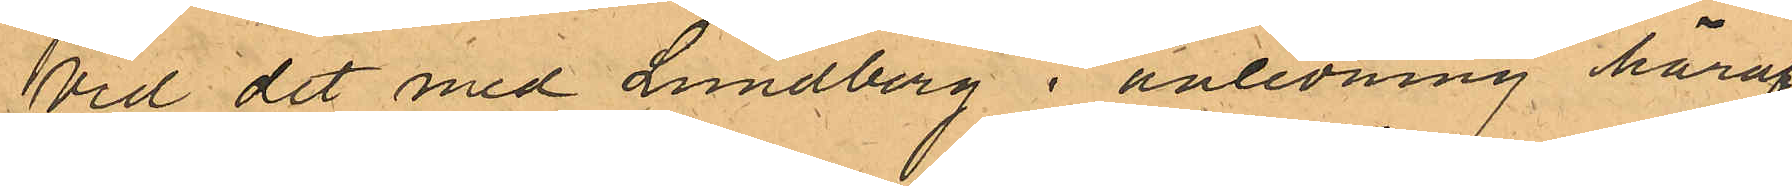Vid det med Lundberg i anledning häraf
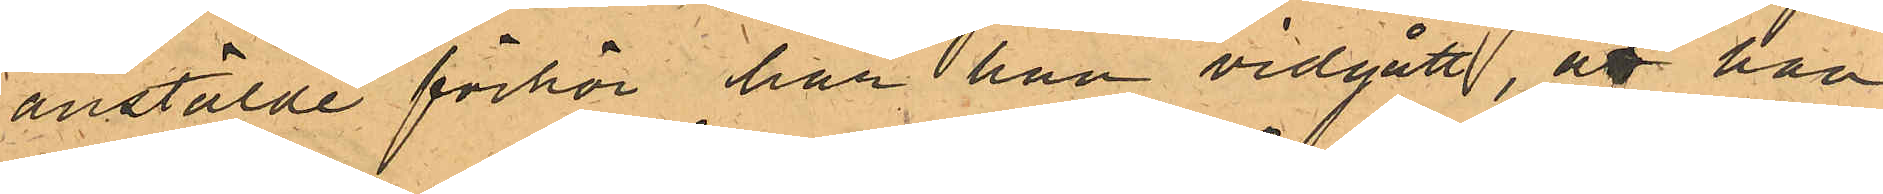anstälde förhör har han vidgått, att han
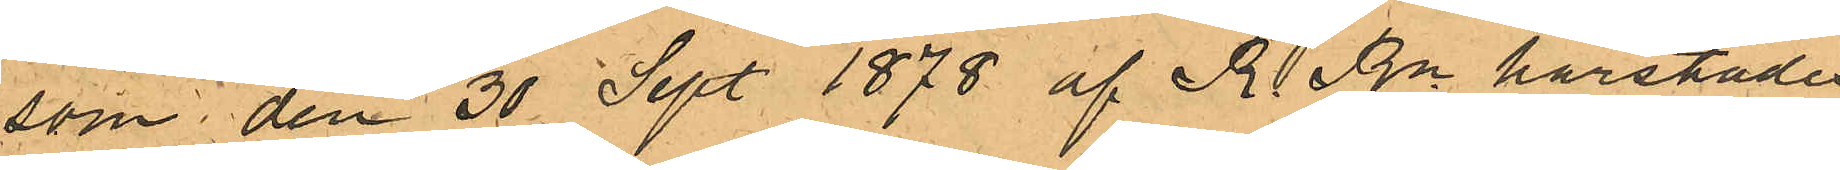som den 30 Sept. 1878 af R. Rn härstädes
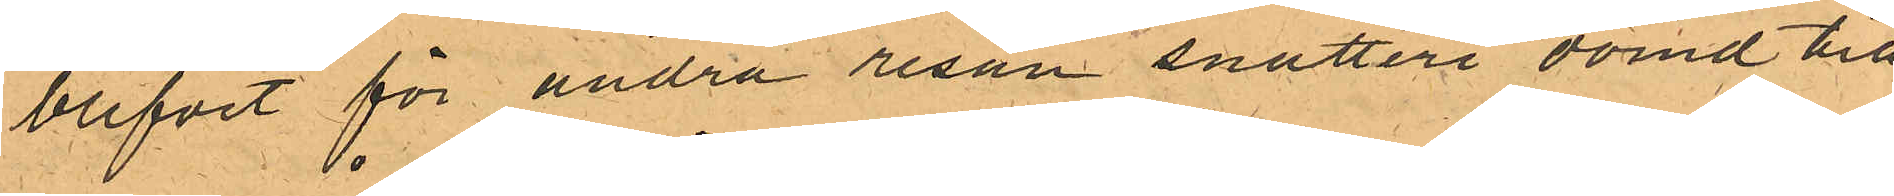blifvit för andra resan snatteri dömd till
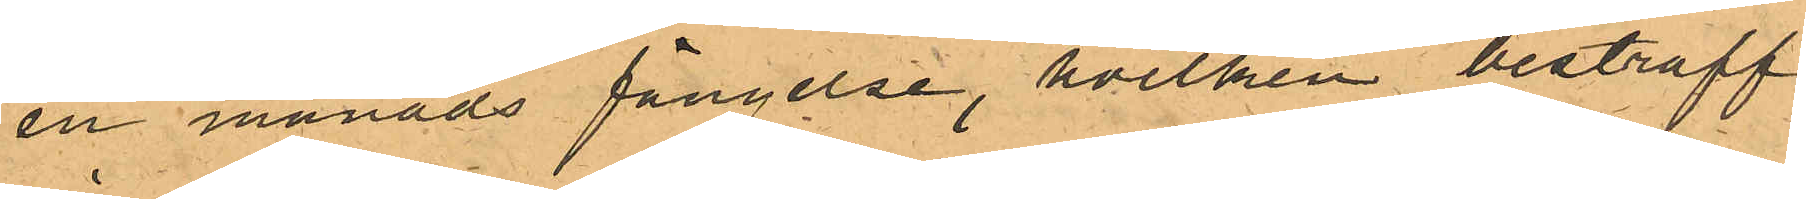en månads fängelse, hvilken bestraff¬
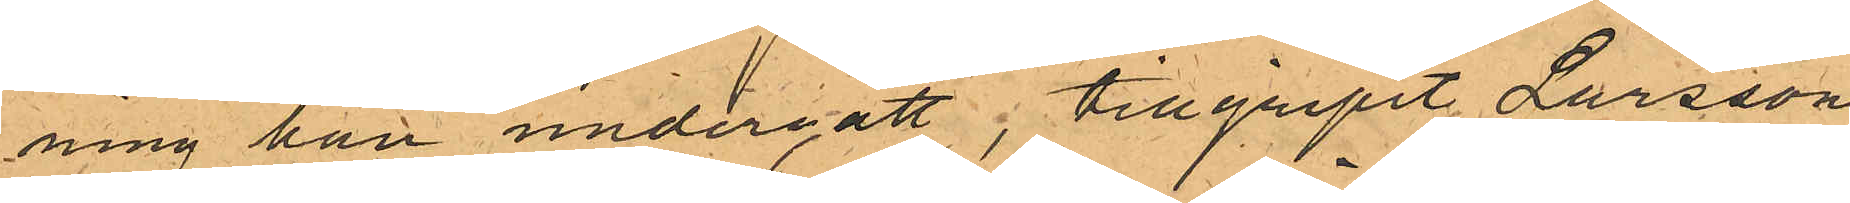ning han undergått, tillgripit Larssons
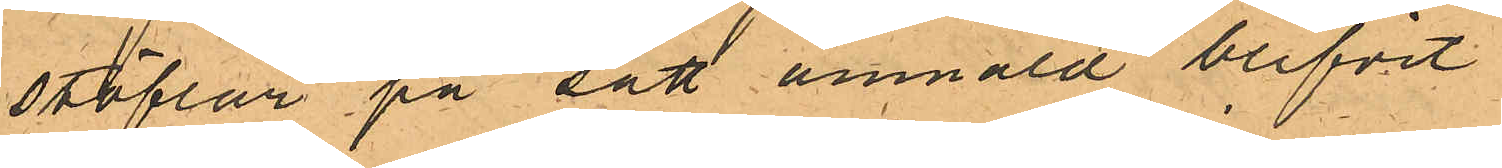stöflar på sätt anmäld blifvit.
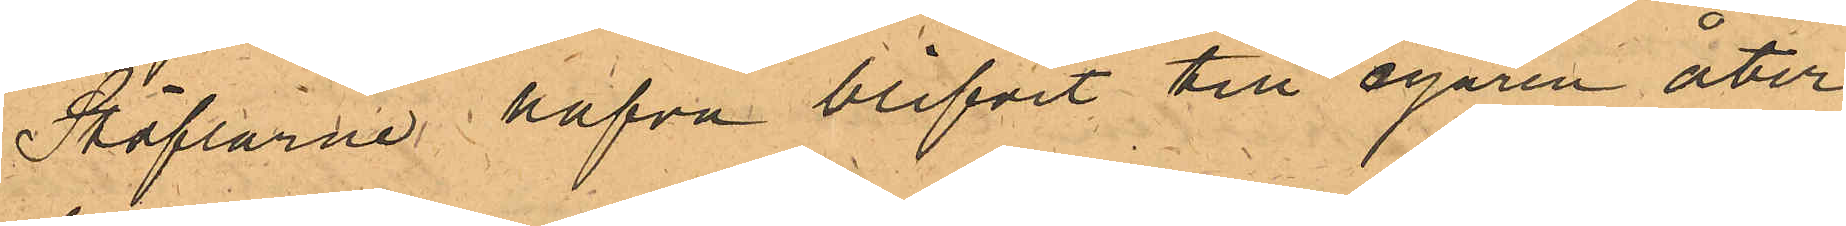Stöflarne hafva blifvit till egaren åter¬
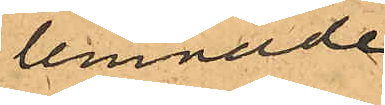lemnade.
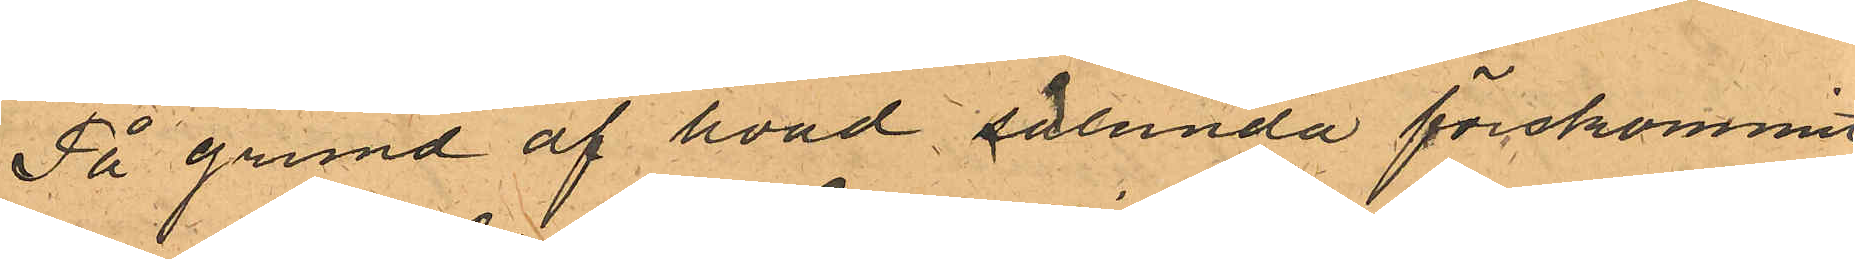På grund af hvad sålunda förekommit
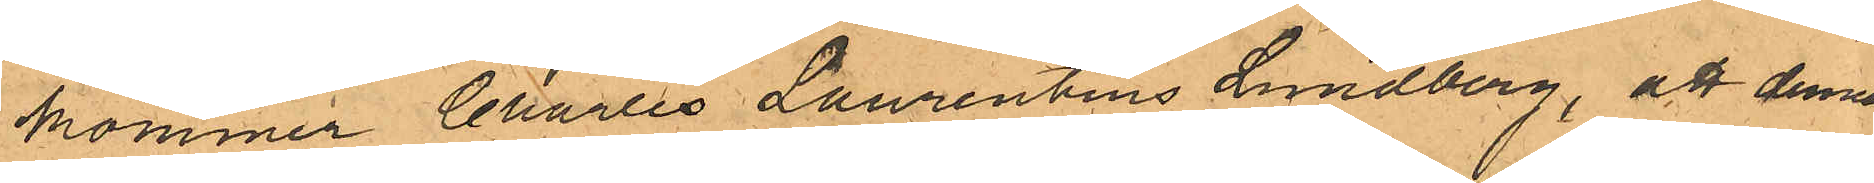kommer Charles Laurentius Lundberg, att denna
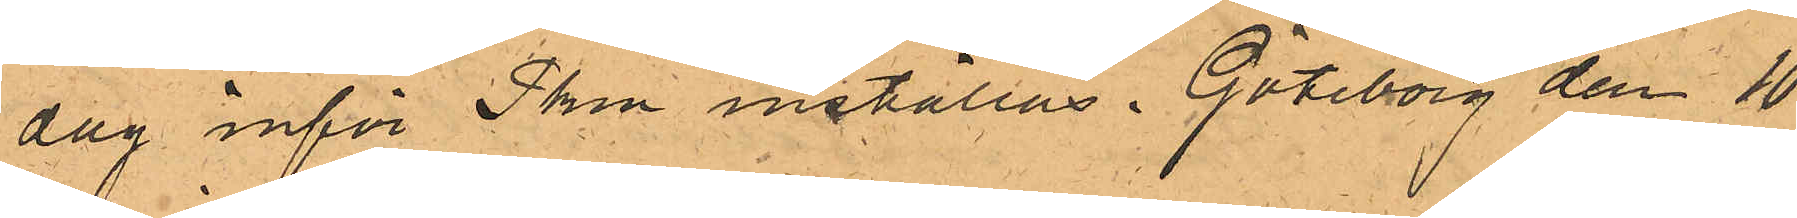dag inför Pken inställas. Göteborg den 10
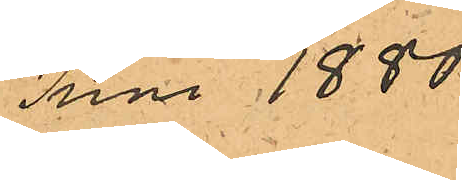Juni 1880.
